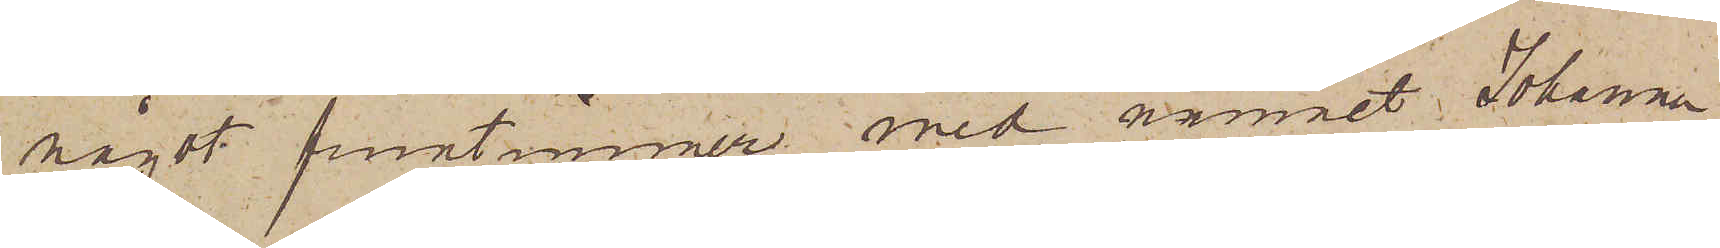något fruntimmer med namnet Johanna
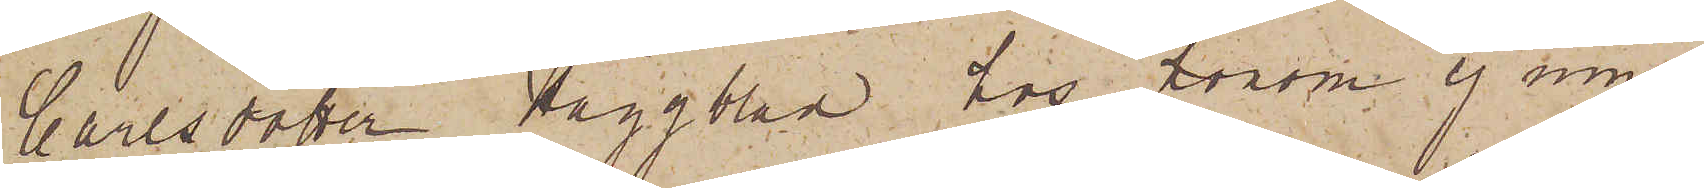Carlsdotter Häggblad hos honom ej inne¬
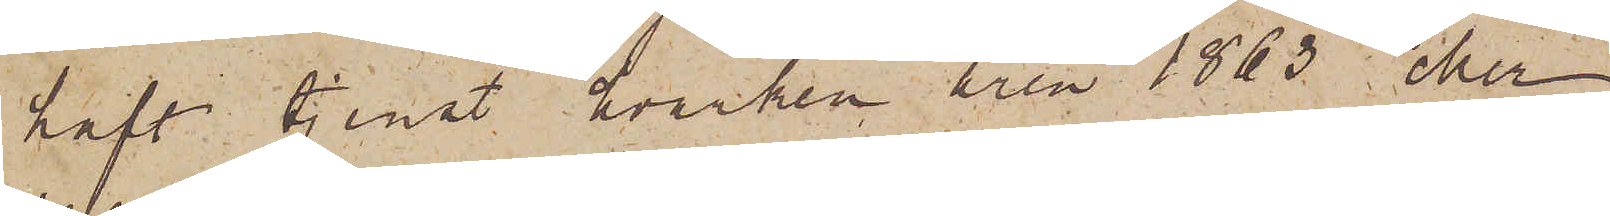haft tjenst hvarken åren 1863 eller
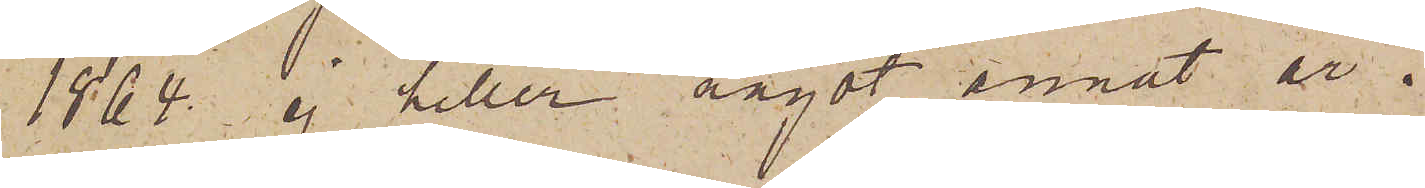1864 ej heller något annat år.
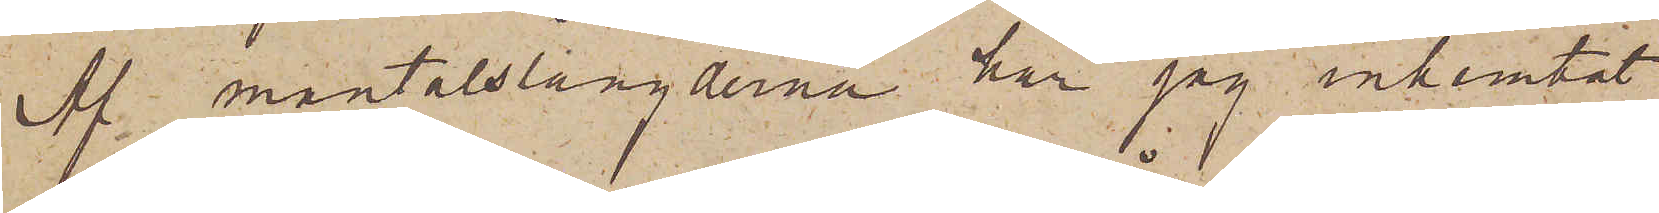Af mantalslängderna har jag inhemtat
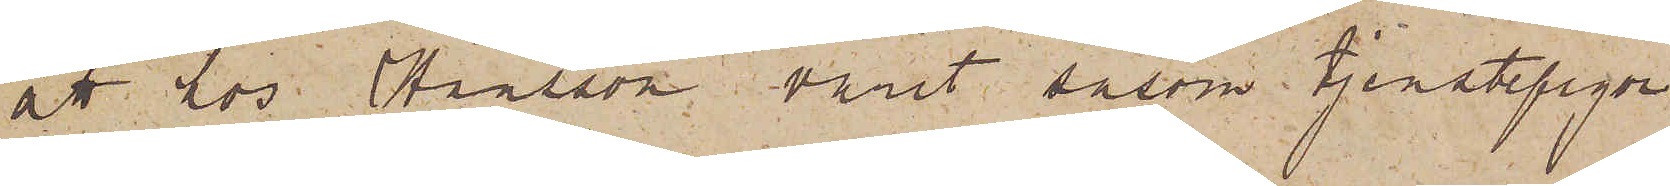att hos Hansson varit såsom tjenstepigor
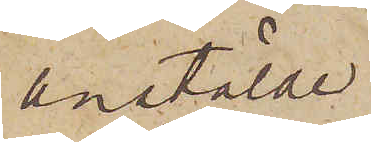anstälde
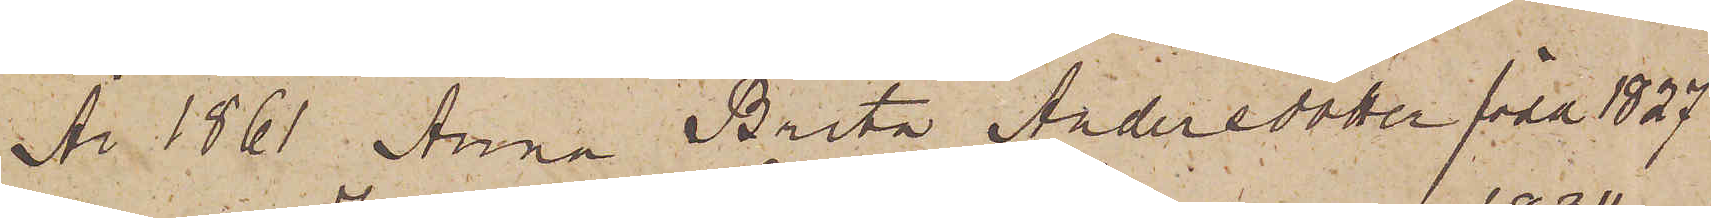Nr 1861 Anna Brita Andersdotter född 1827
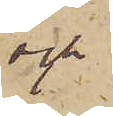och
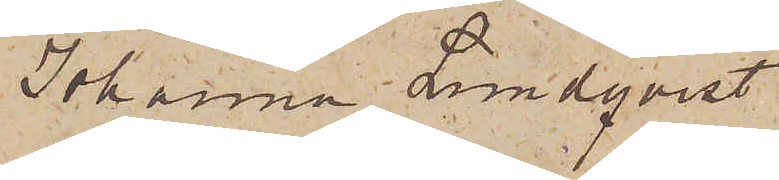Johanna Lundqvist
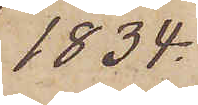1834.
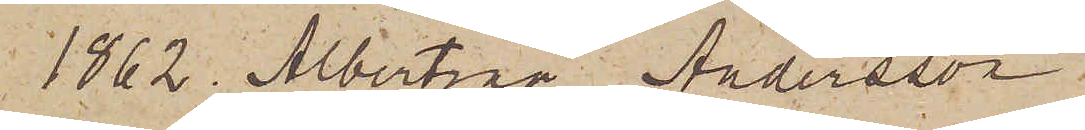1862. Albertina Andersson
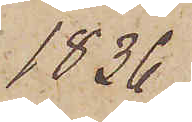1836
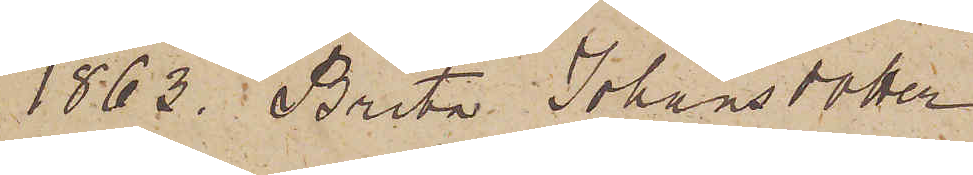1863. Brita Johansdotter
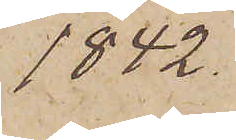1842.
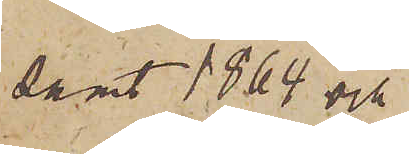samt 1864 och
